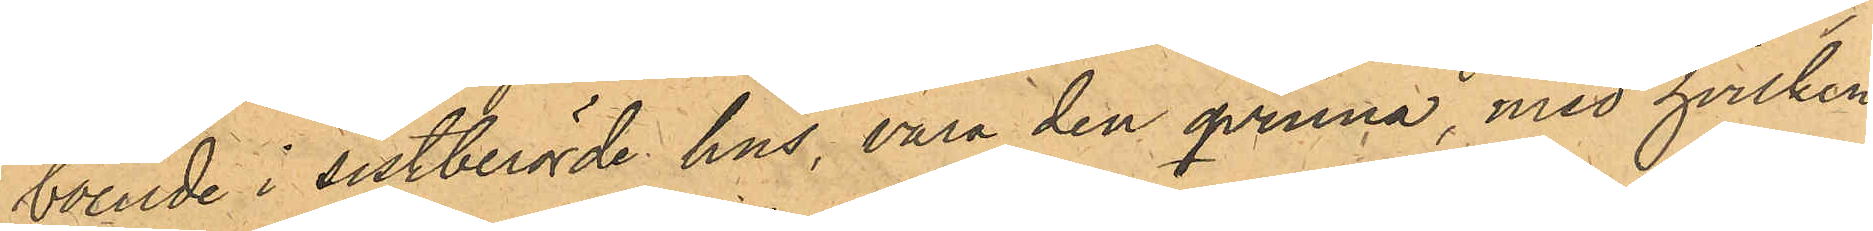boende i sistberörde hus, vara den qvinna med hvilken
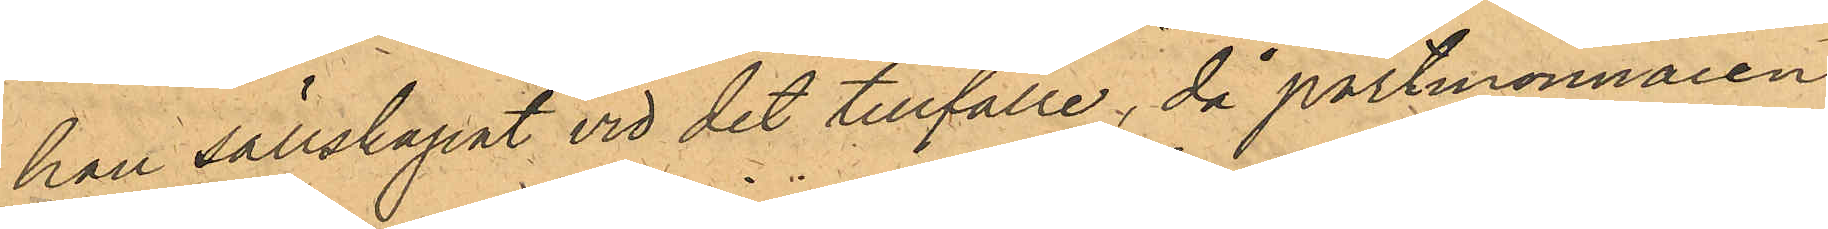han sällskapat vid det tillfälle, då portmonnaien
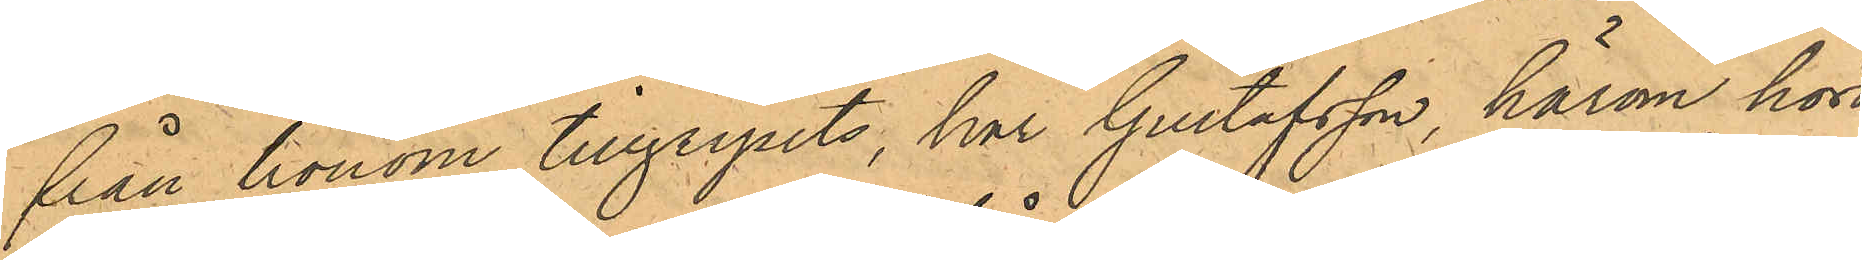från honom tillgripits, har Gustafsson, härom hörd,
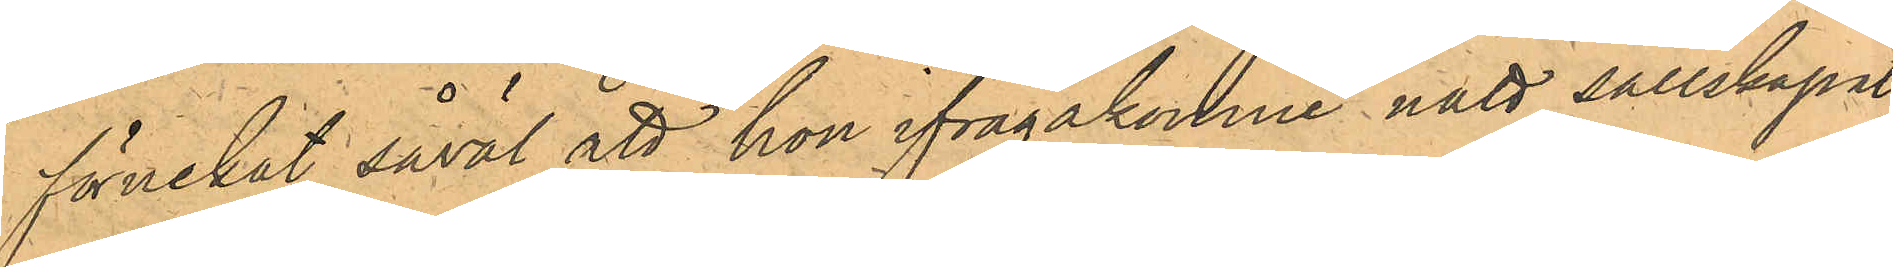förnekat såväl att hon ifrågakomne natt sällskapat
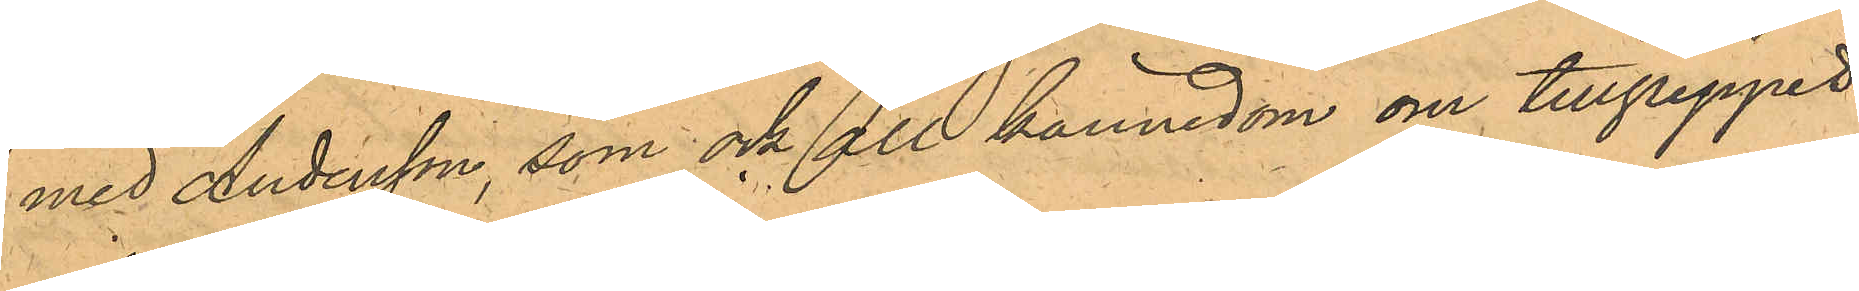med Andersson, som ock all kännedom om tillgreppet
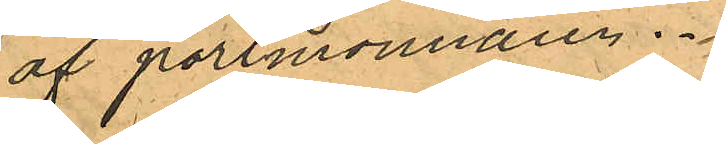af portmonnaien.
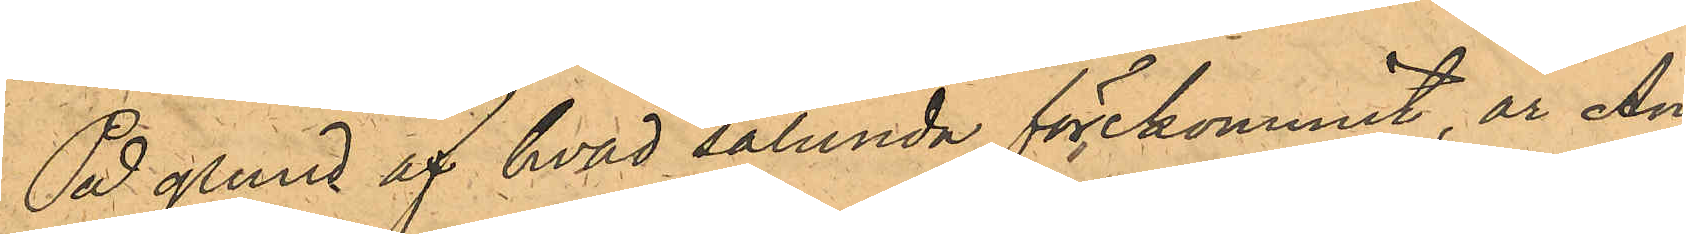P grund af hvad sålunda förekommit, är An¬
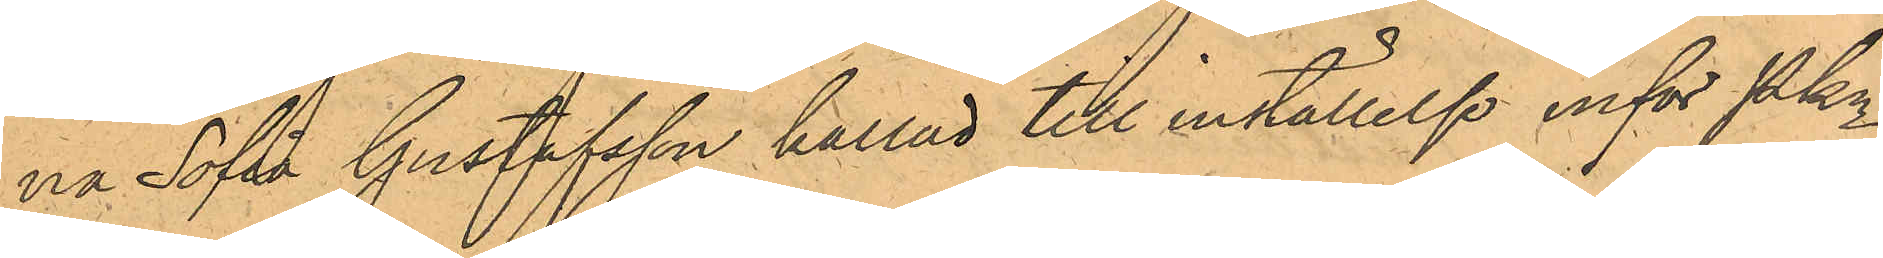na Sofia Gustafsson kallad till inställelse inför Pkn
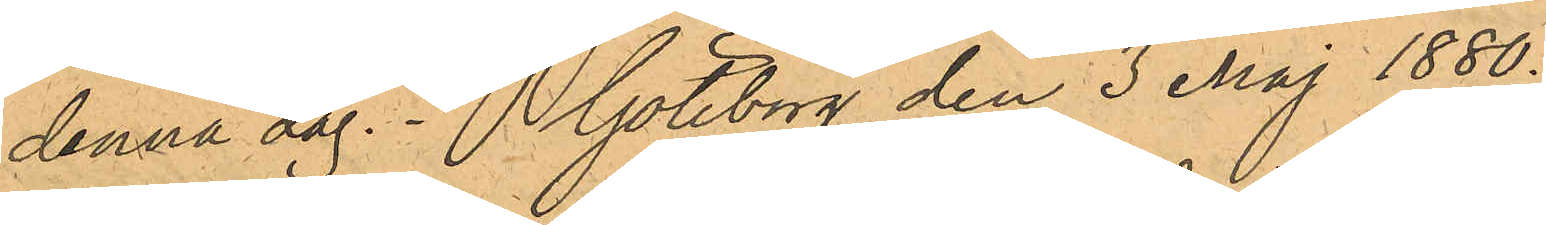denna dag. Göteborg den 3 Maj 1880.
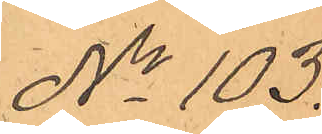No 103.
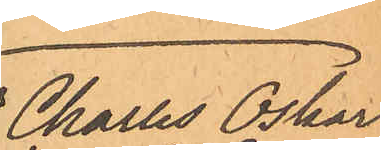Charles Oskar
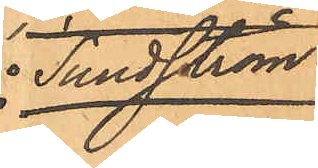 Sundström.
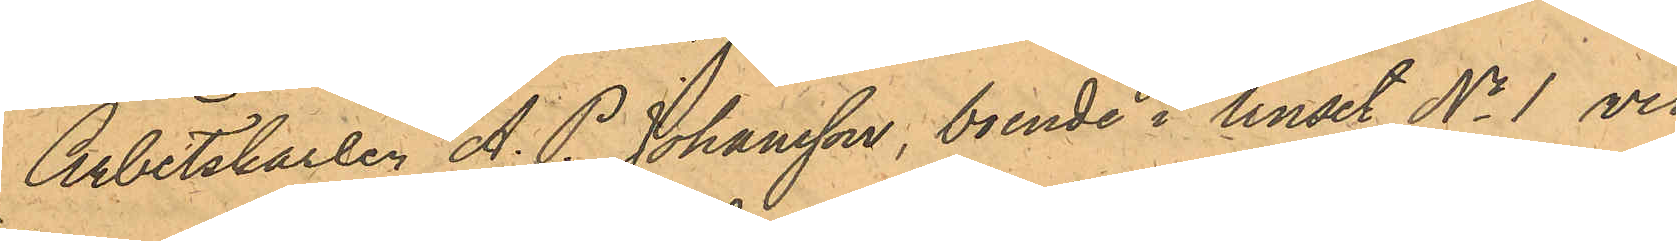Arbetskarlen A. P. Johansson, boende i huset No 1 vid
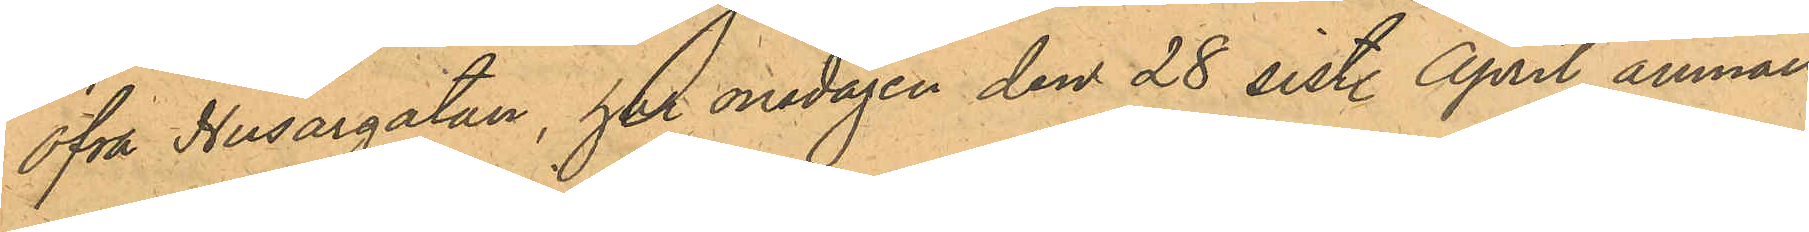Öfra Husargatan, har onsdagen den 28 sist. April anmält
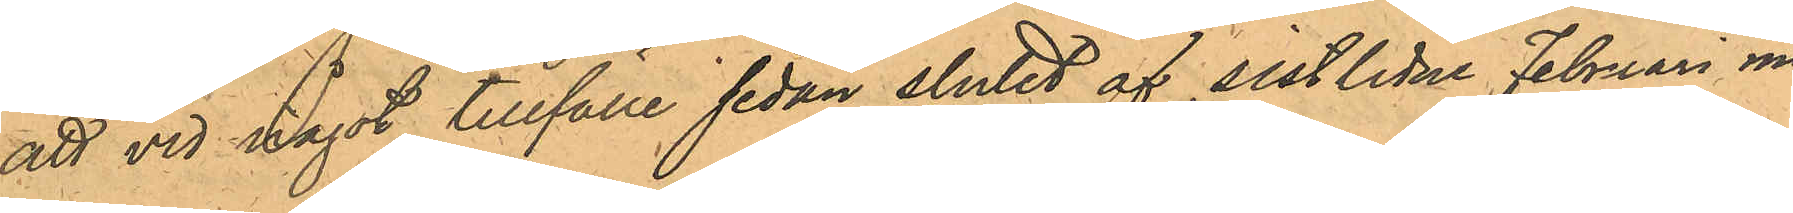att vid något tillfälle sedan slutet af sistlidne Februari må¬
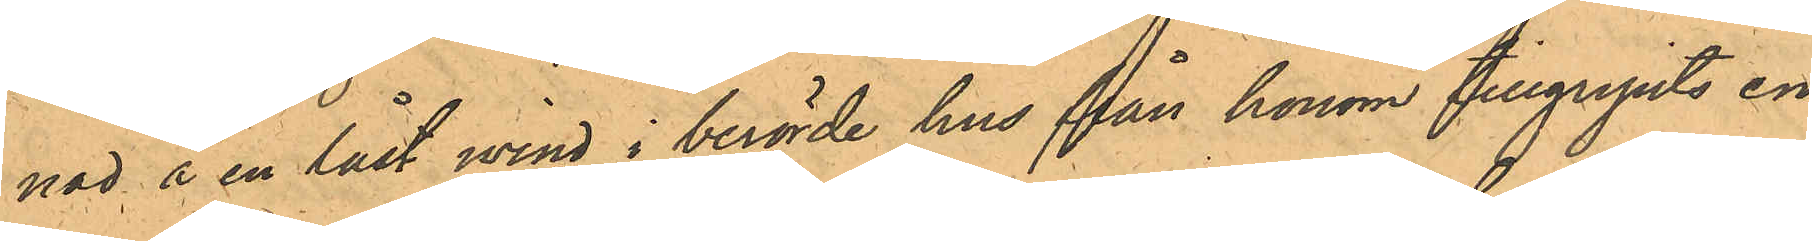nad å en låst wind i berörde hus från honom tillgripits en
